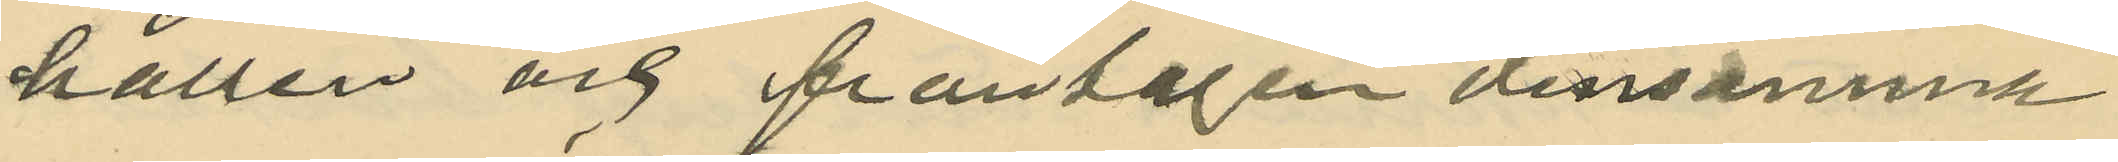hållen och fråntagen densamma
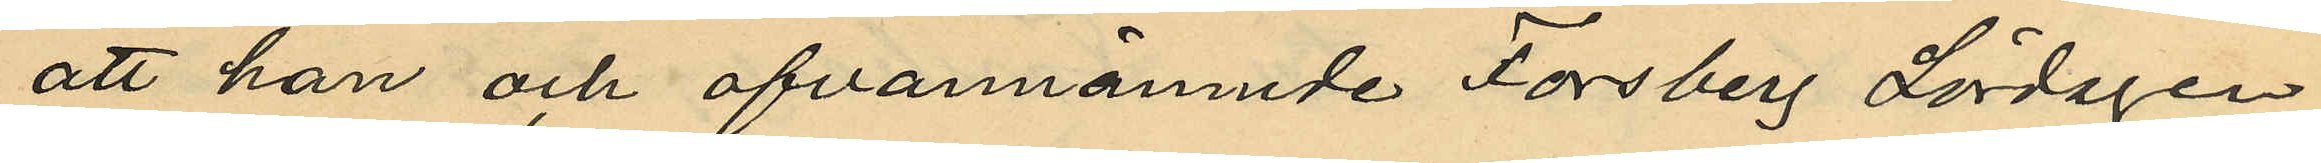att han och ofvannämnde Forsberg Lördagen
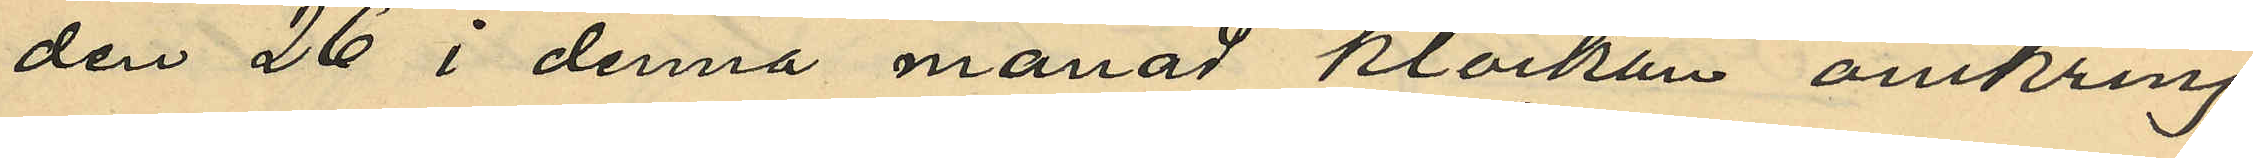den 26 i denna månad klockan omkring
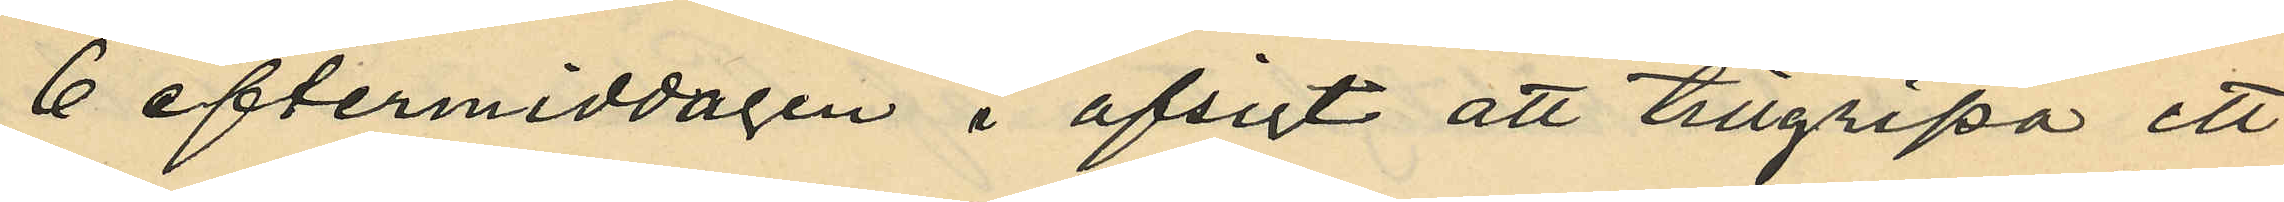6 eftermiddagen i afsigt att tillgripa ett
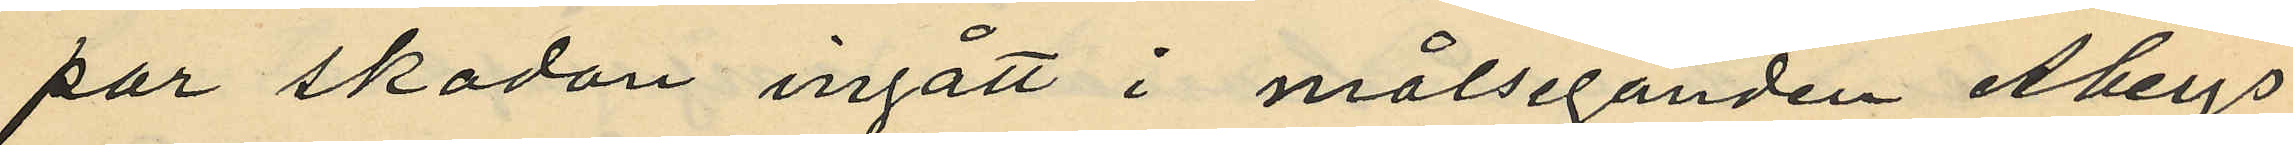par skodon ingått i målseganden Åbergs
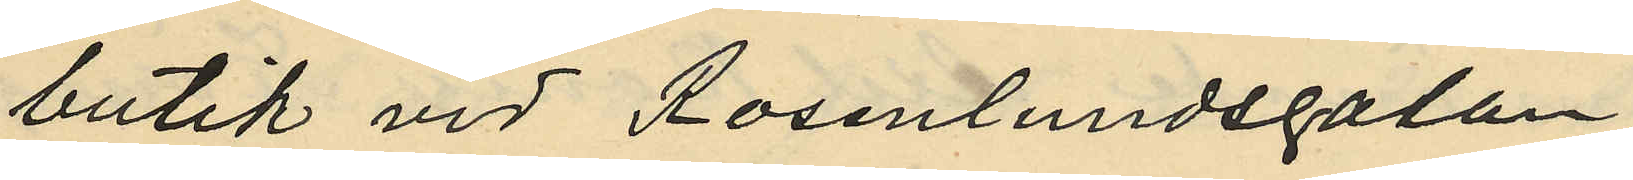butik vid Rosenlundsgatan;
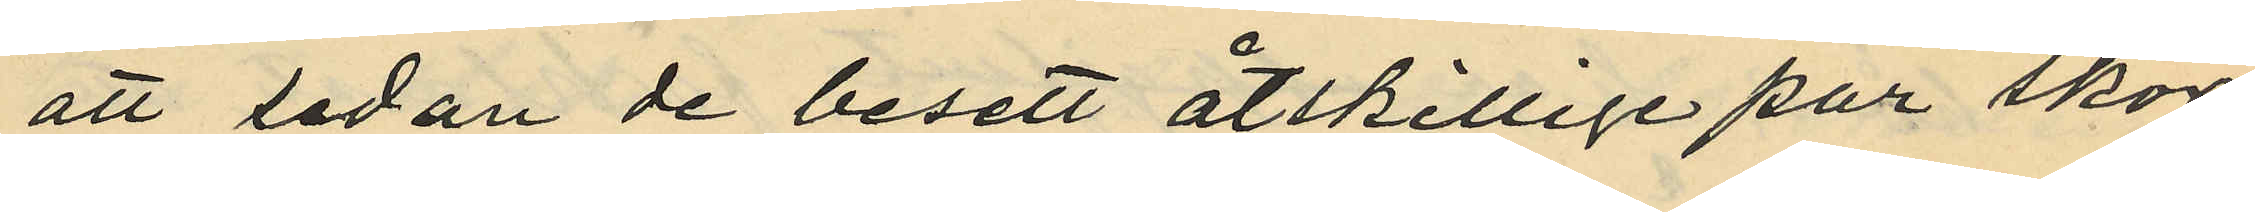att sedan de besett åtskillige par skor
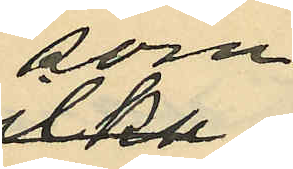som
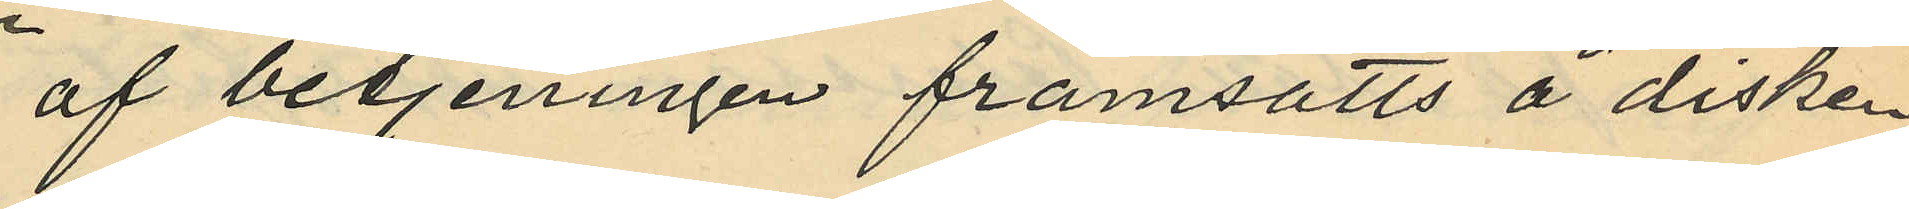af betjeningen framsatts å disken,
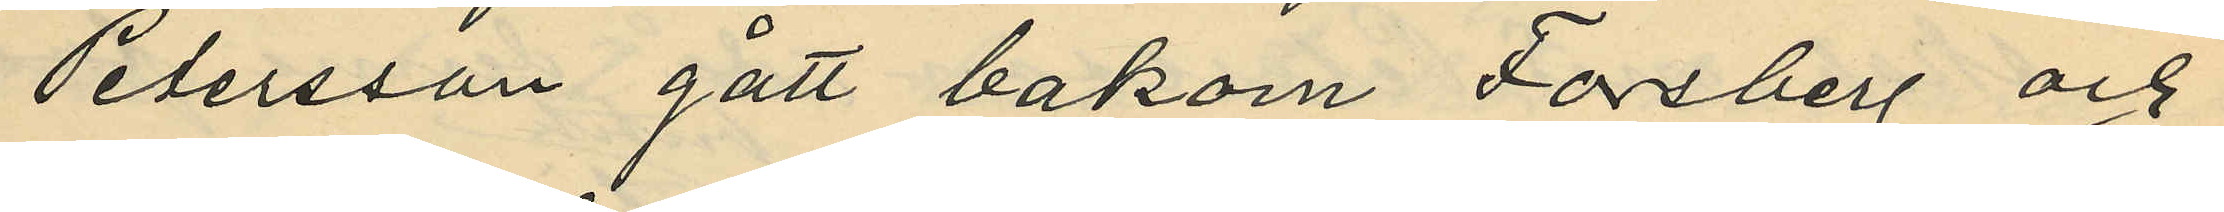Petersson gått bakom Forsberg och
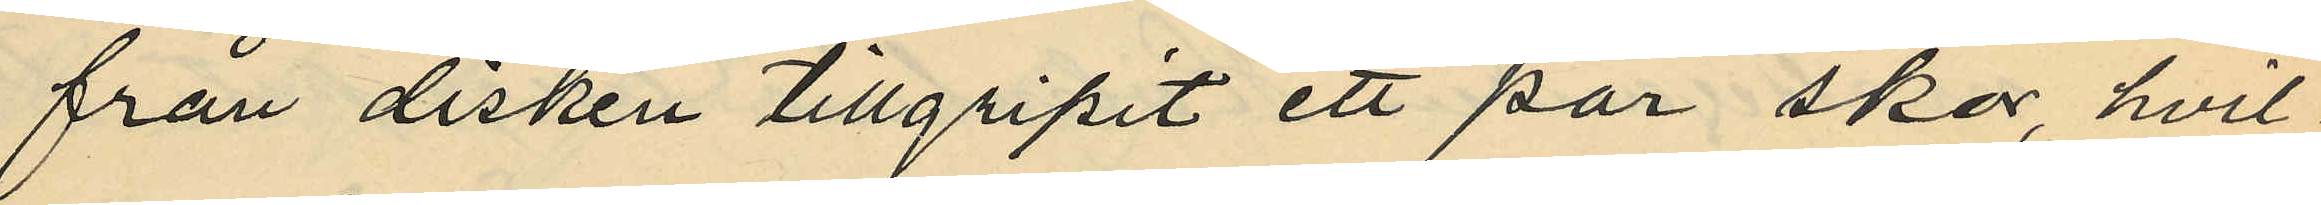från disken tillgripit ett par skor, hvil¬
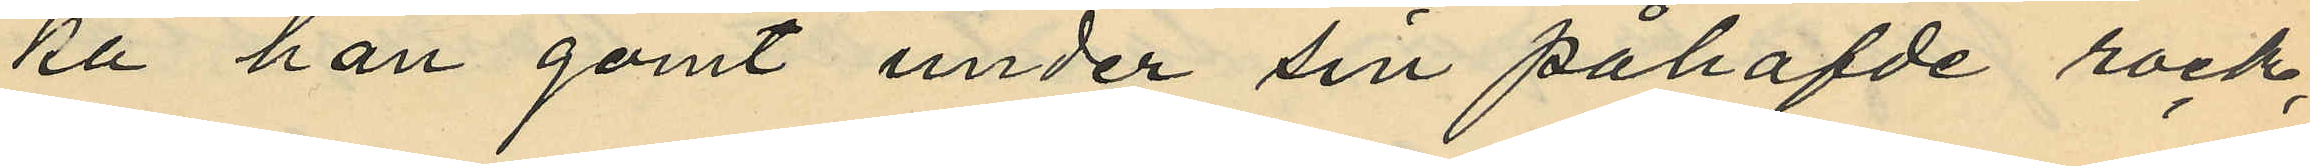ka han gömt under sin påhafvde rock,
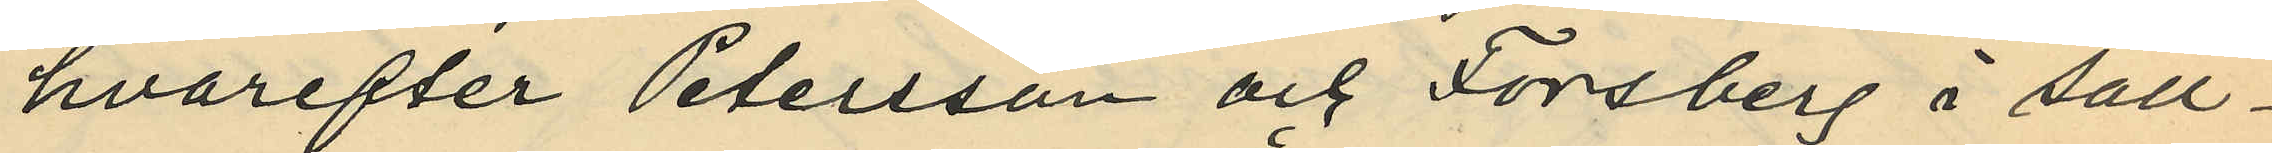hvarefter Petersson och Forsberg i säll¬
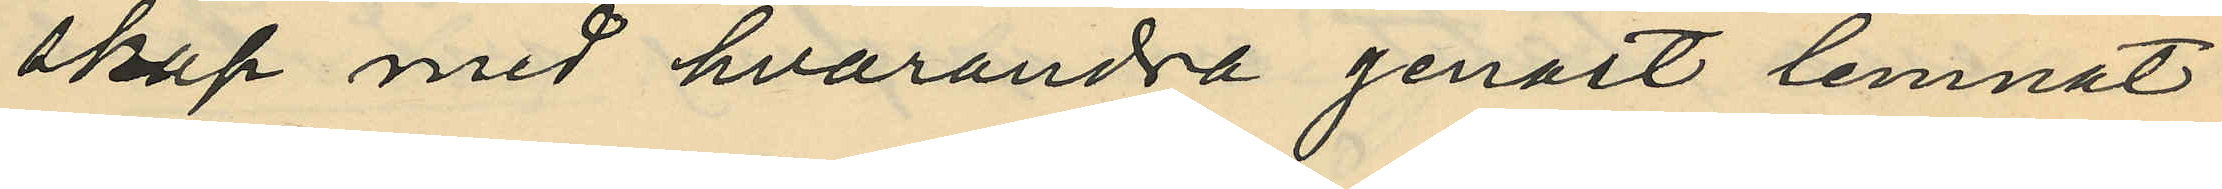skap med hvarandra genast lemnat
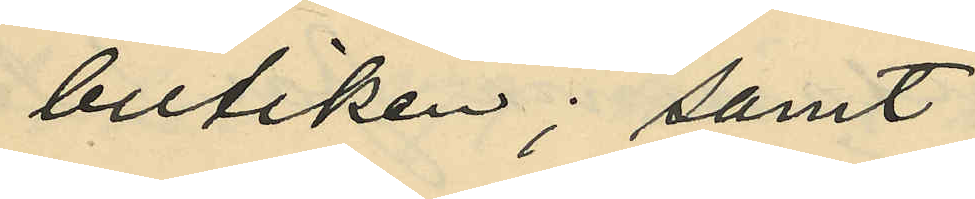butiken; samt
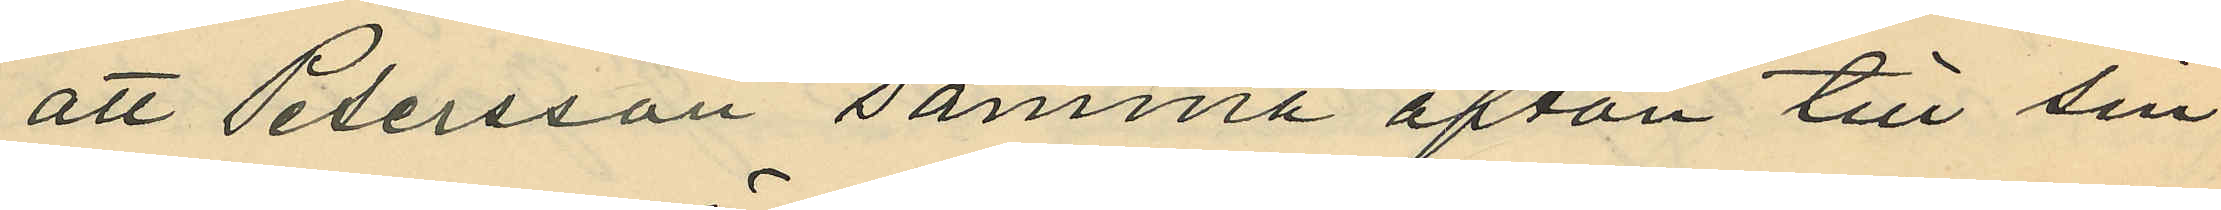att Petersson samma afton till sin
